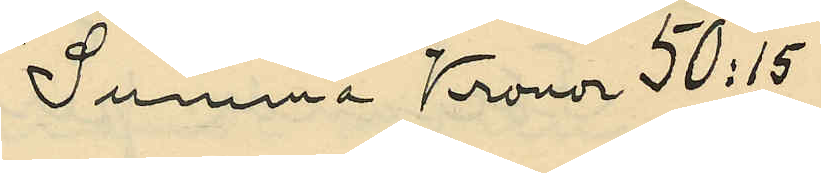Summa Kronor 50:15
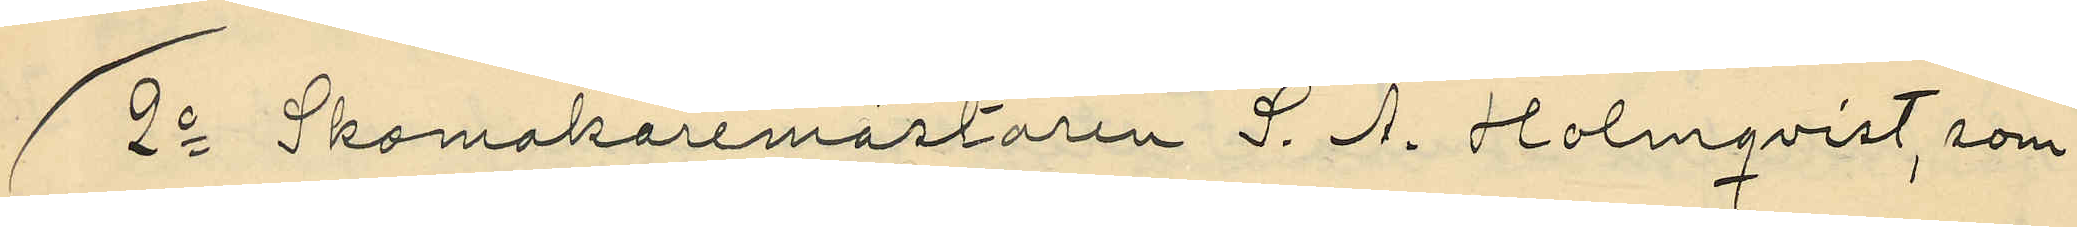2o Skomakaremästaren S. A. Holmqvist, som
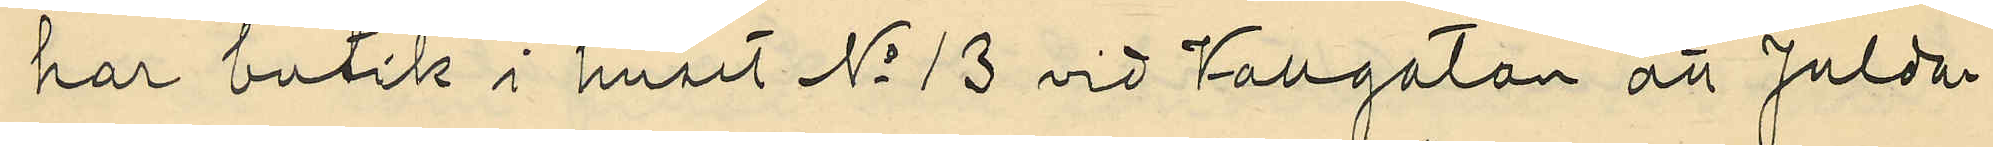har butik i huset No 13 vid Vallgatan att Julda¬
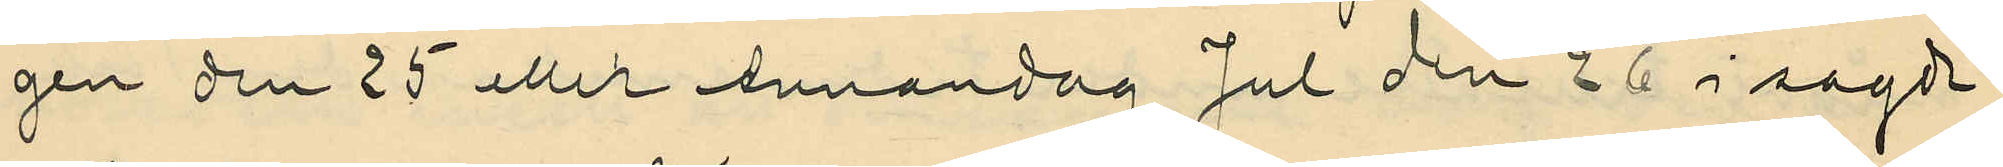gen den 25 eller Annandag Jul den 26 i sagda
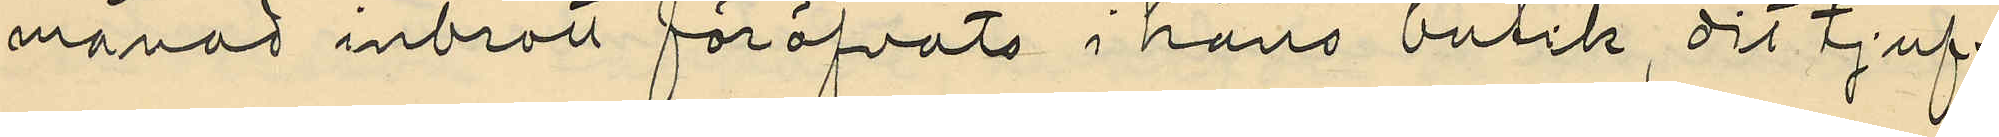månad inbrott föröfvats i hans butik, dit tjuf¬
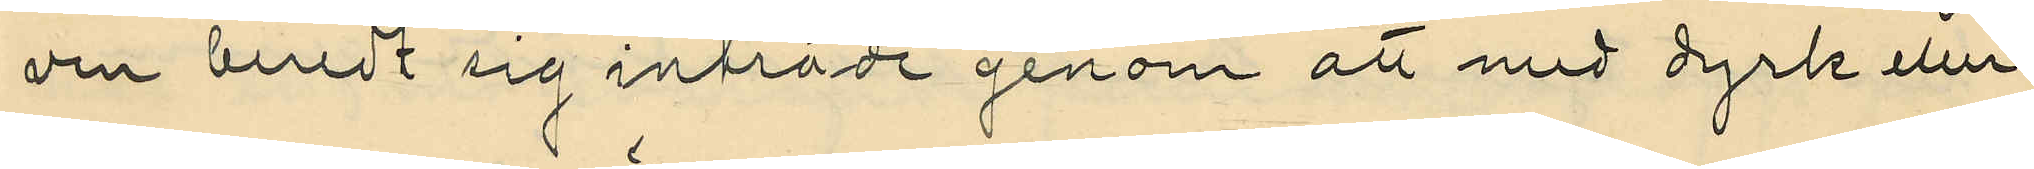ven beredt sig inträde genom att med dyrk eller
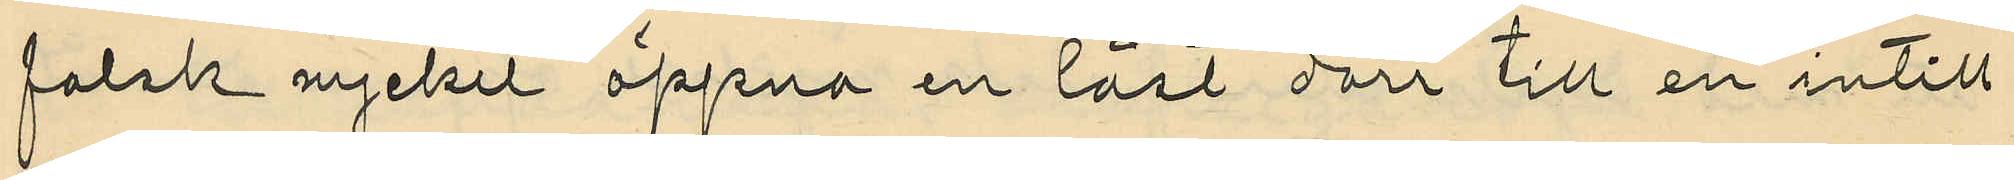falsk nyckel öppna en låst dörr till en intill
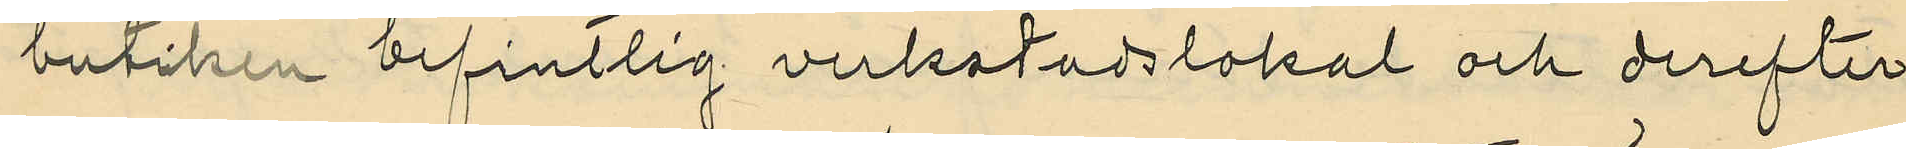butiken befintlig verkstadslokal och derefter
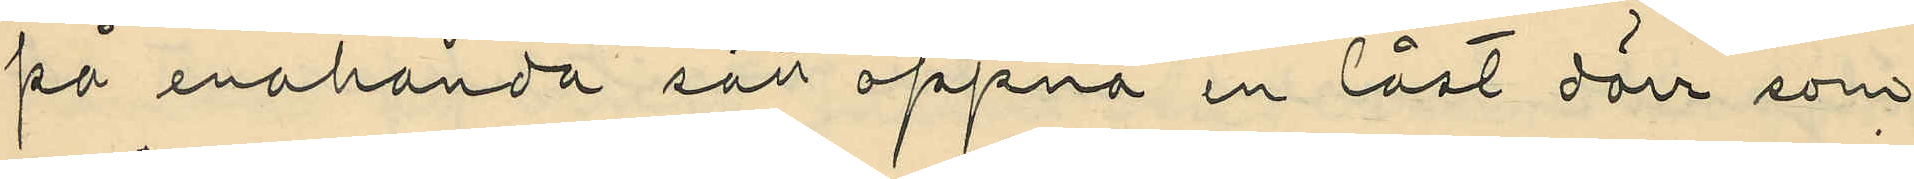på enahanda sätt öppna en låst dörr som
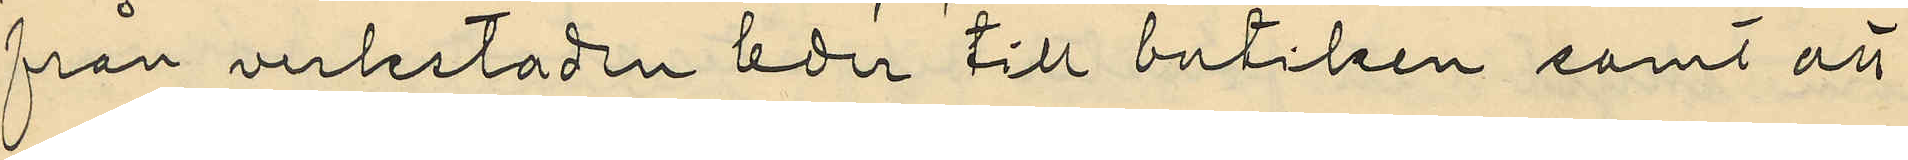från verkstaden leder till butiken samt att
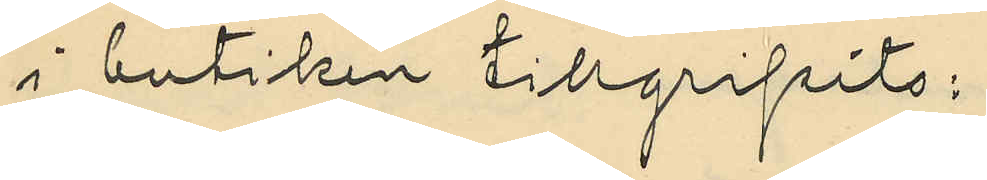i butiken tillgripits:
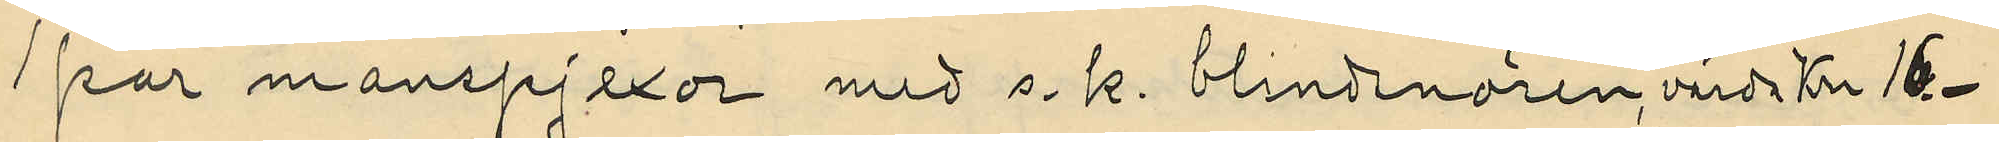1 par manspjexor med s. k. blindsnören, värda Kr 16:-
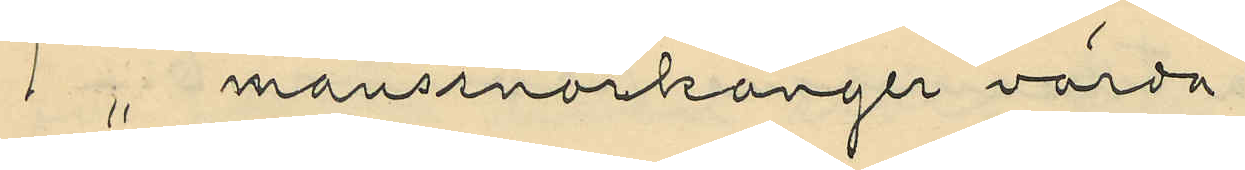1 " manssnörkänger värda 
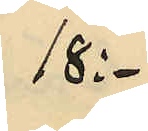18:-
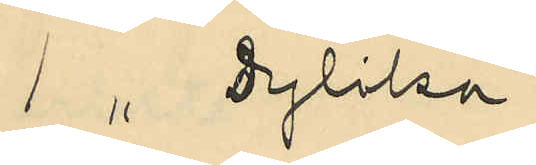1 " dylika
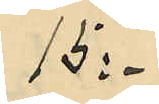15:-
